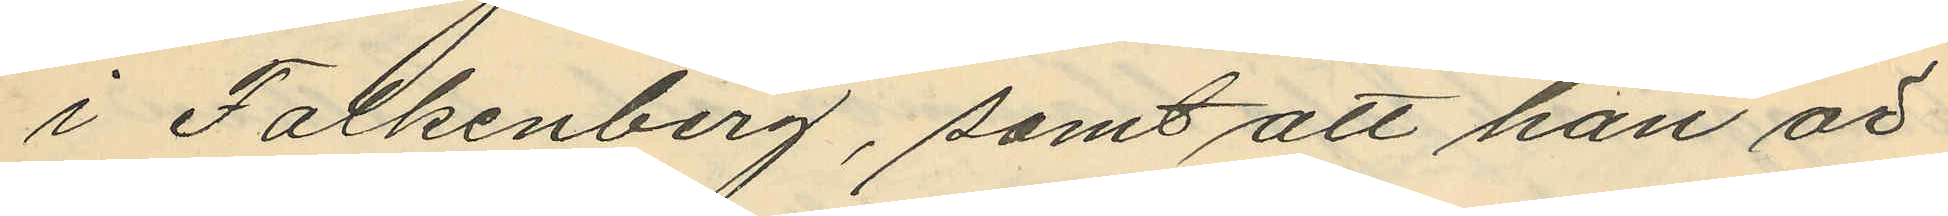i Falkenberg, samt att han är
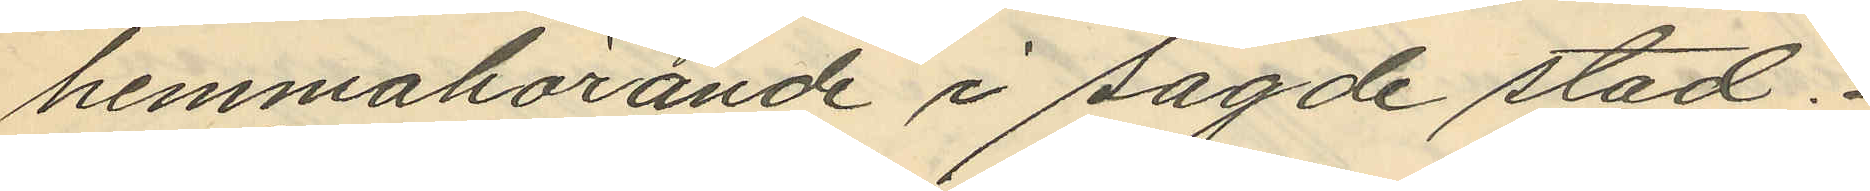hemmahörande i sagde stad.
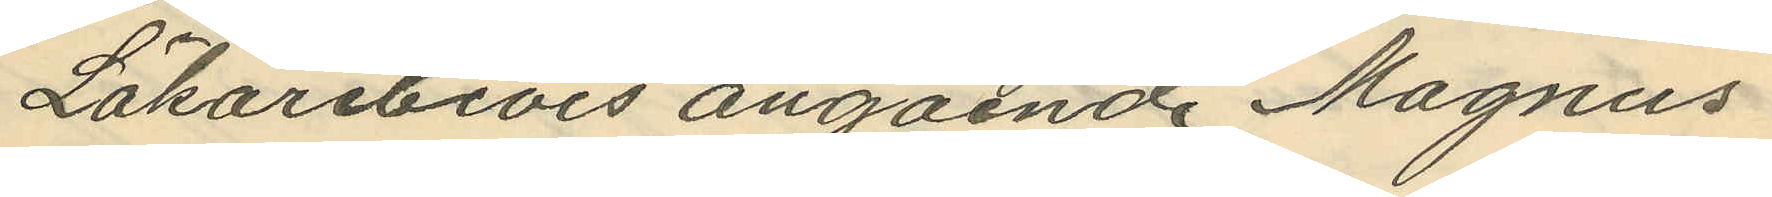Läkarebevis angående Magnus
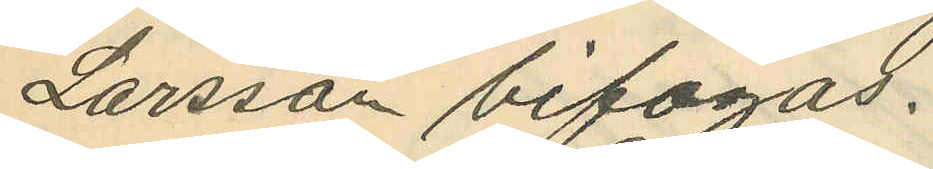Larsson bifogas.
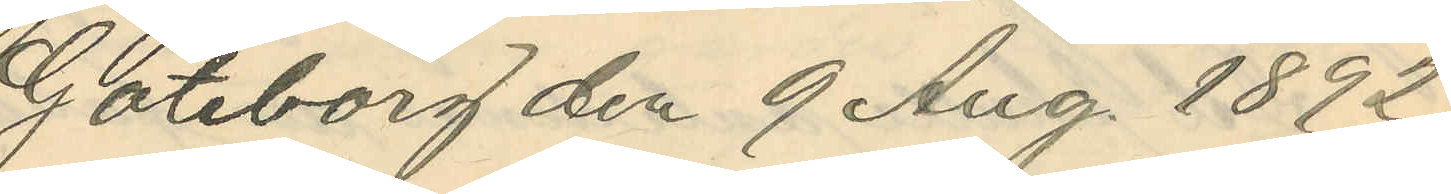Göteborg den 9 Aug 1892.
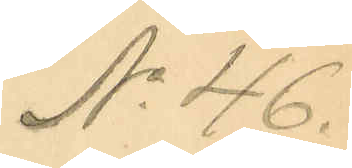No 46.
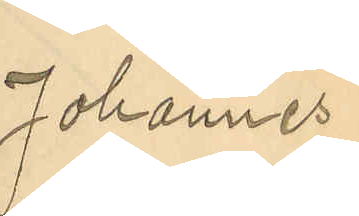Johannes
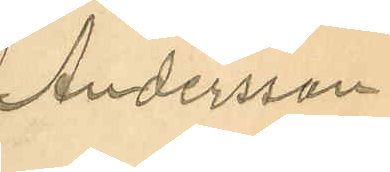Andersson
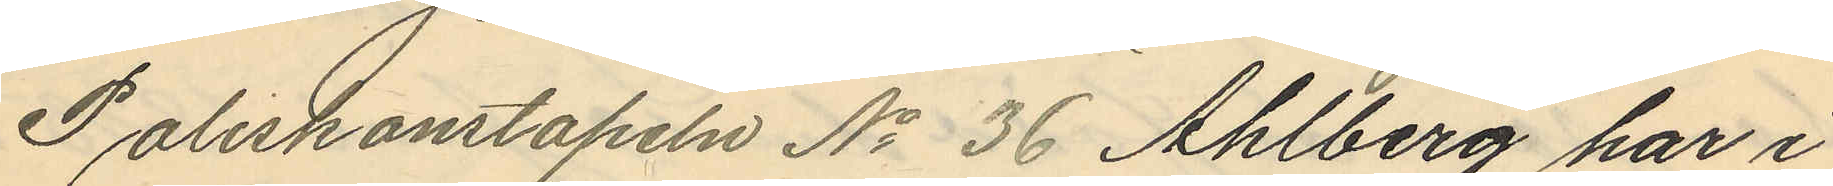Poliskonstapeln No 36 Ahlberg har i
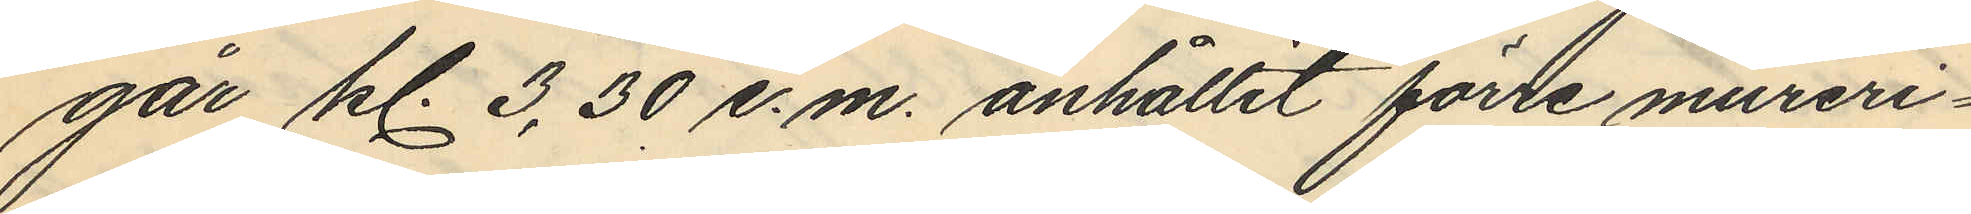går kl. 3,30 e.m. anhållit förre mureri¬
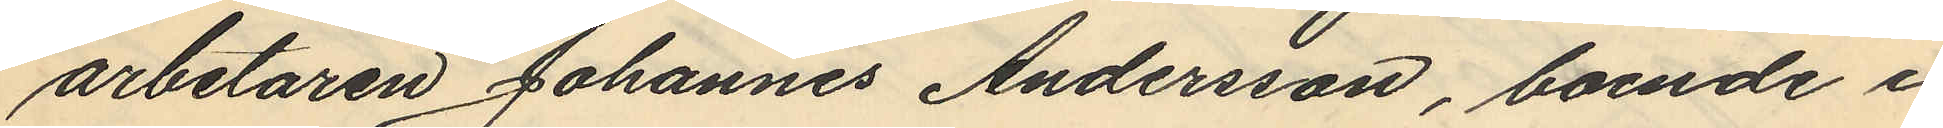arbetaren Johannes Andersson, boende i
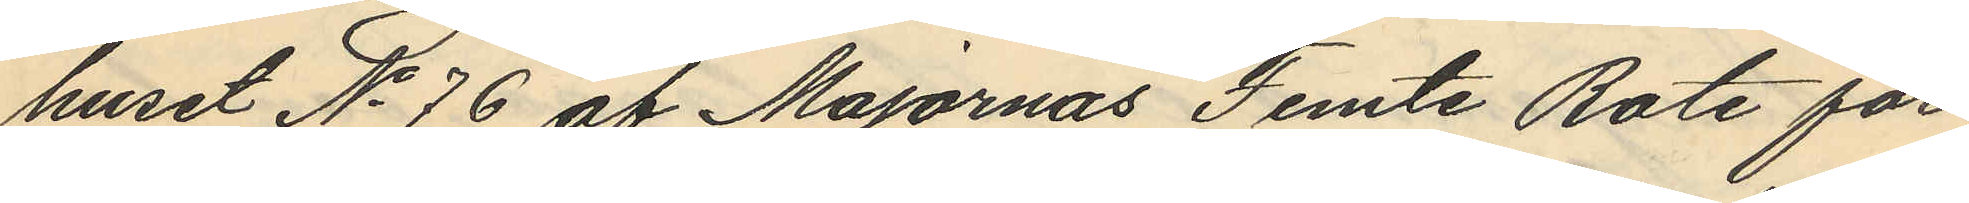huset No 76 af Majornas Femte Rote för
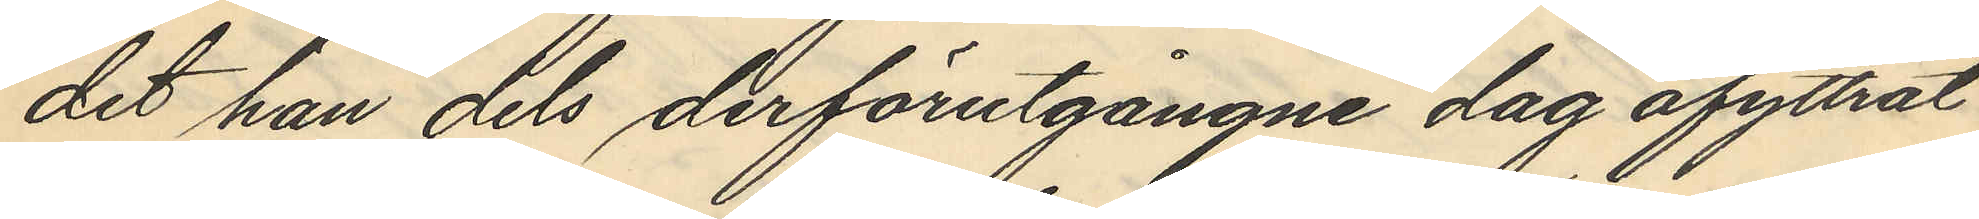det han dels derförutgångne dag afyttrat
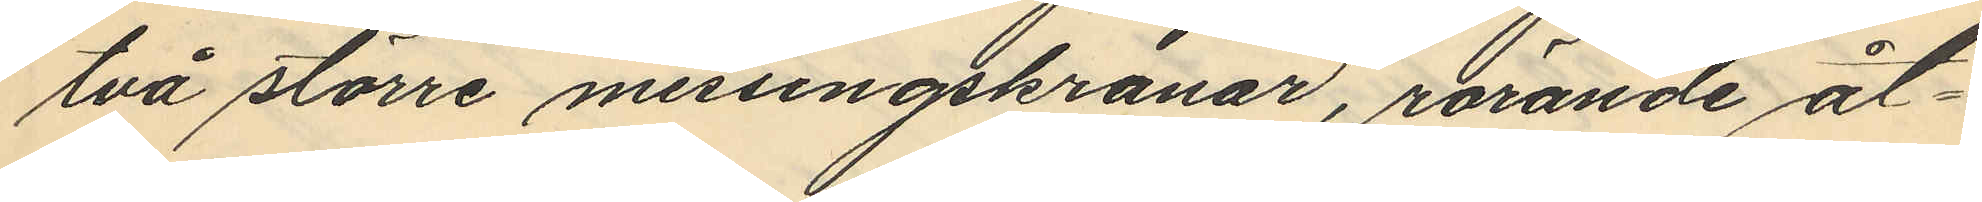två större messingskranar, rörande åt¬
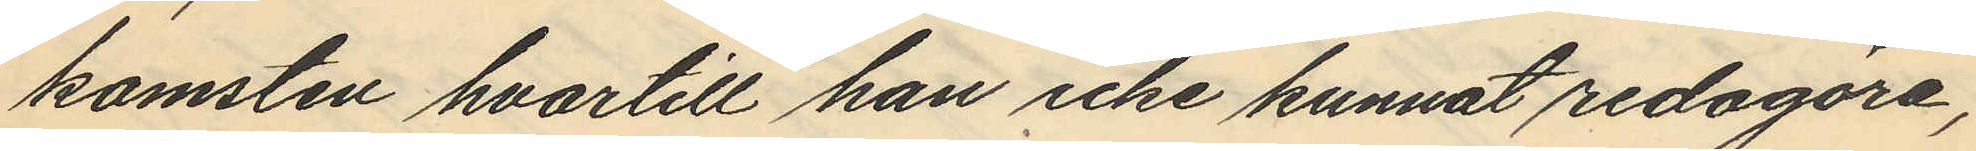komsten hvartill han icke kunnat redogöra,
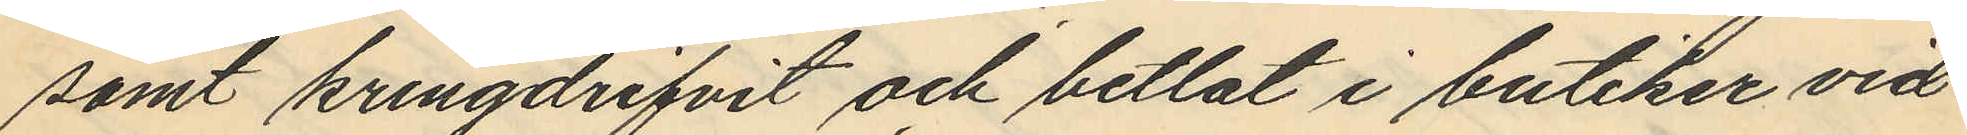samt kringdrifvit och betlat i butiker vid
